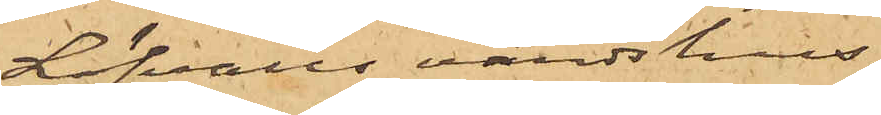Löfvalls värdshus.
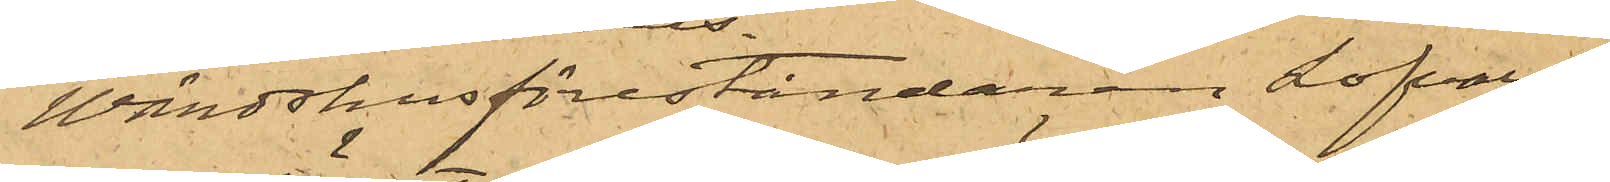Wärdshusföreståndaren Löfvall
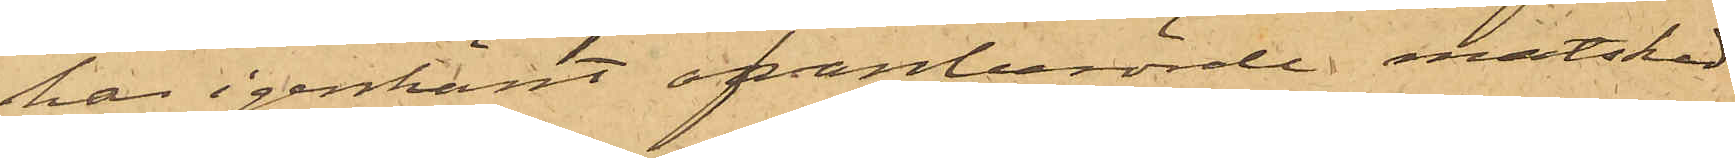har igenkänt ofvanberörde matsked
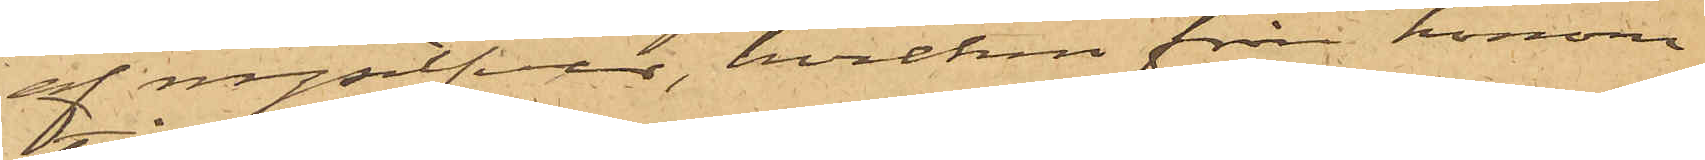af nysilfver, hvilken från honom
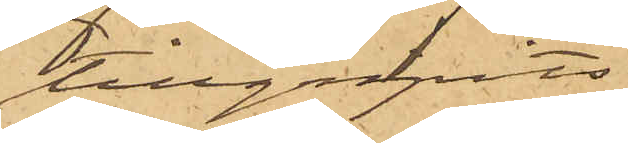tillgripits.
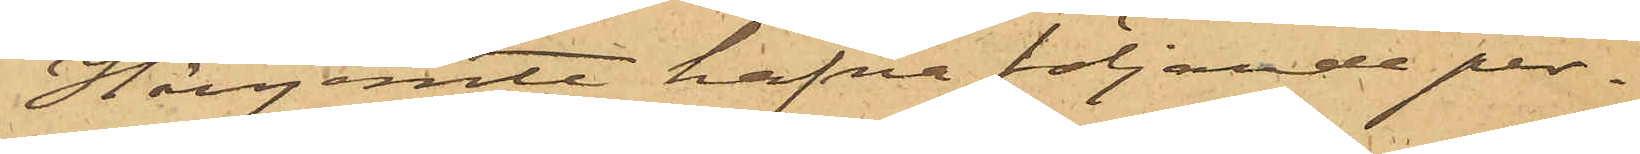Härjemte hafva följande per¬
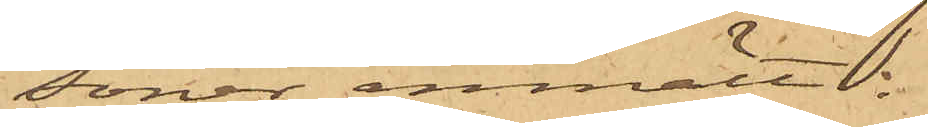soner anmält:
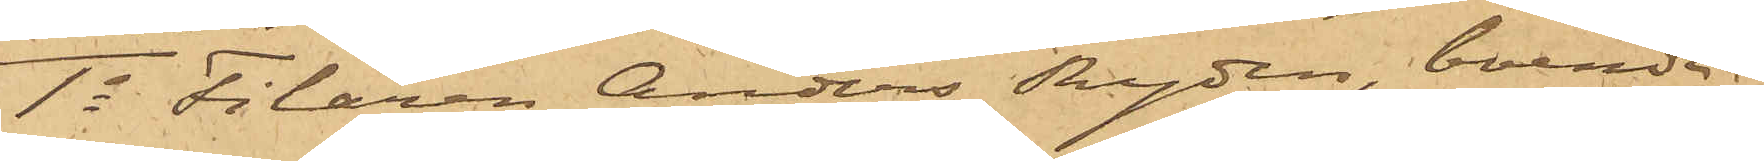1o Filaren Anders Rydén, boende
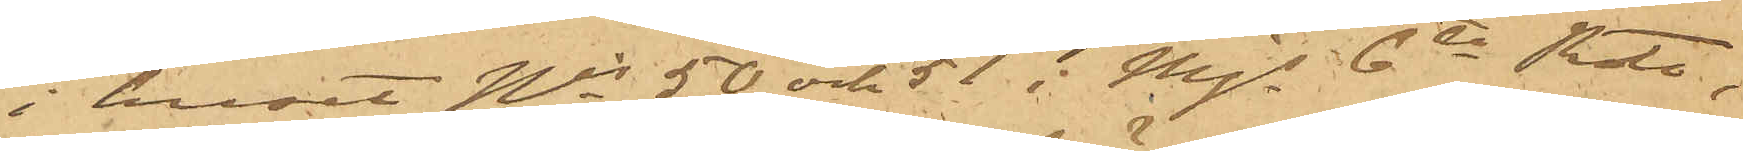i huset Nris 50 och 51  Mjs 6te Rote,
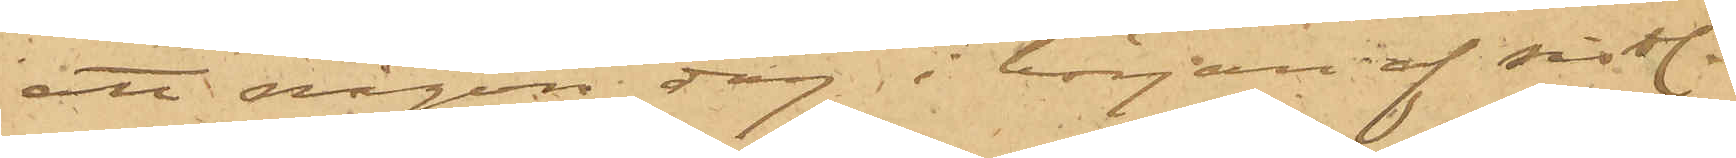att någon dag i början af sist.
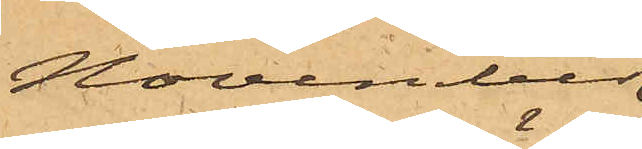November
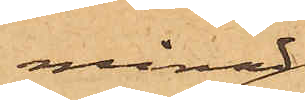månad
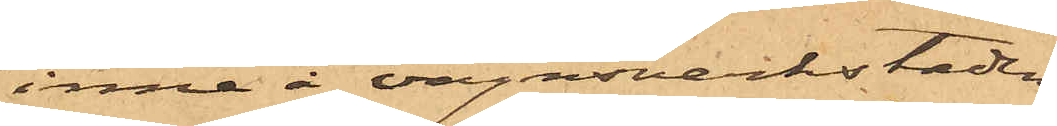inne å vagnsverkstaden
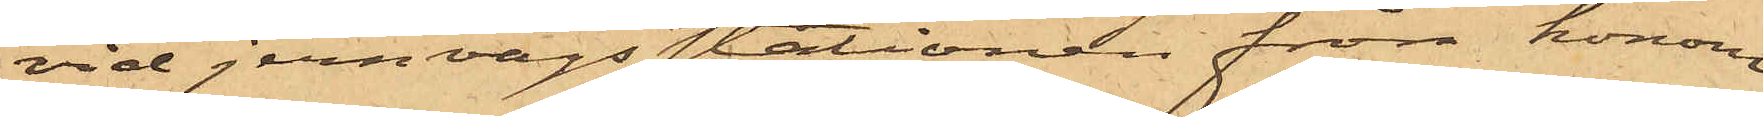vid jernvägsstationen från honom
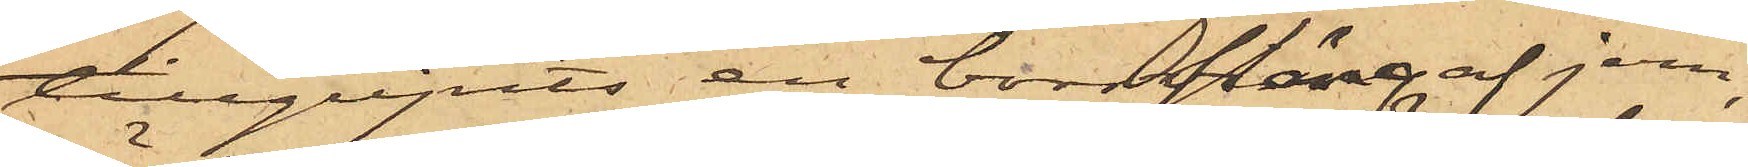tillgripits en borrsväng af jern,
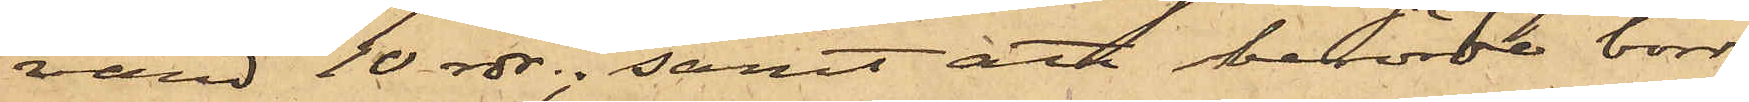värd 10 rdr.; samt att berörde borr,
